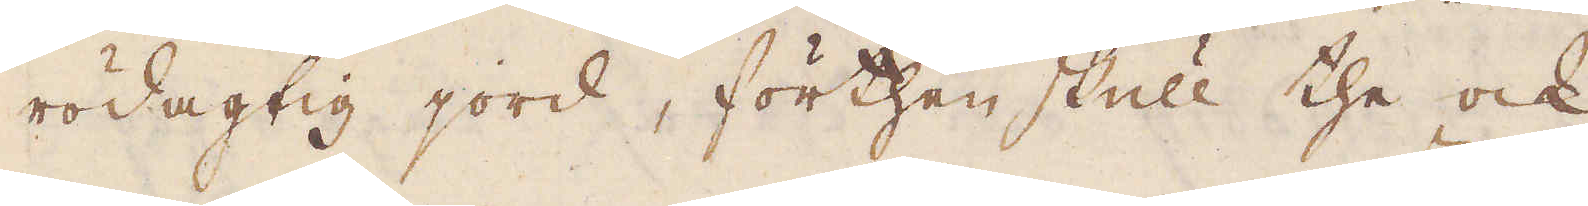rödagtig jord, förthen skull the ock
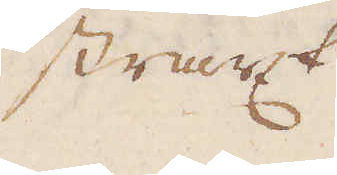straxt
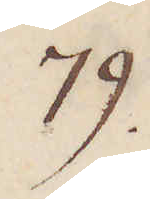79.
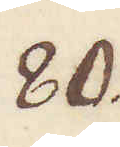80.
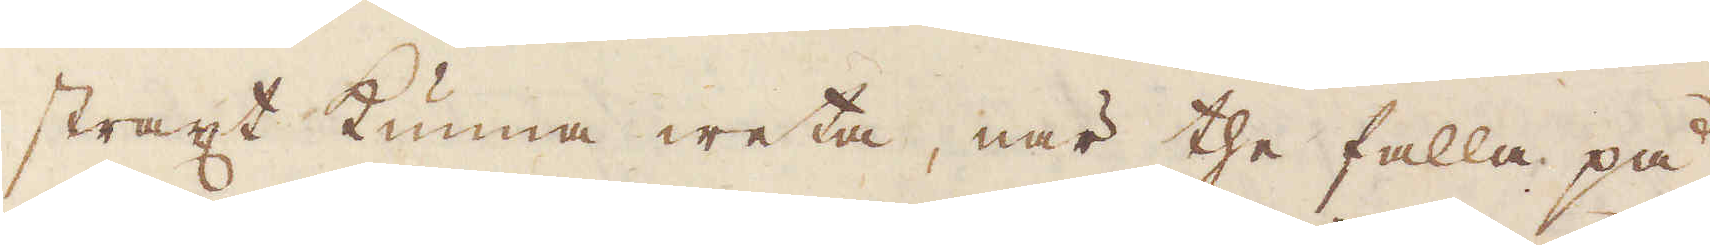straxt kunna weta, när the falla på
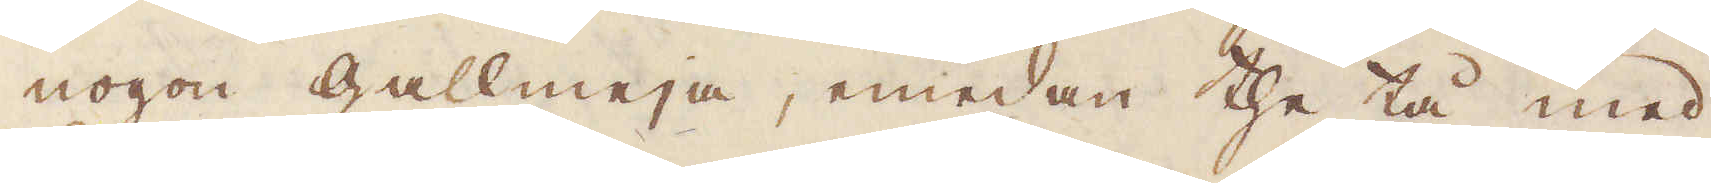nogon gallmeja, emedan the tå med
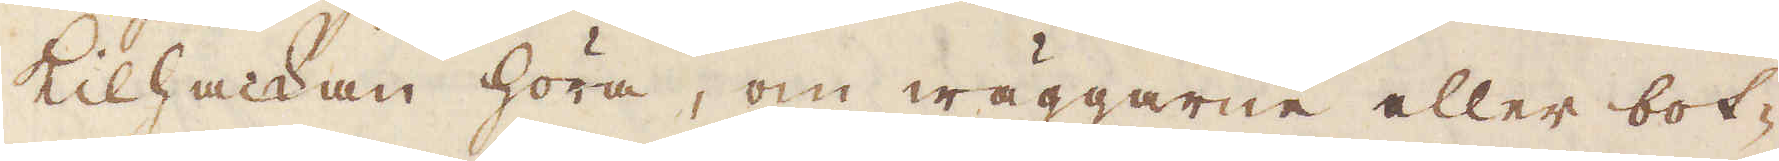Kilhackan höra, om wäggarne eller bot-
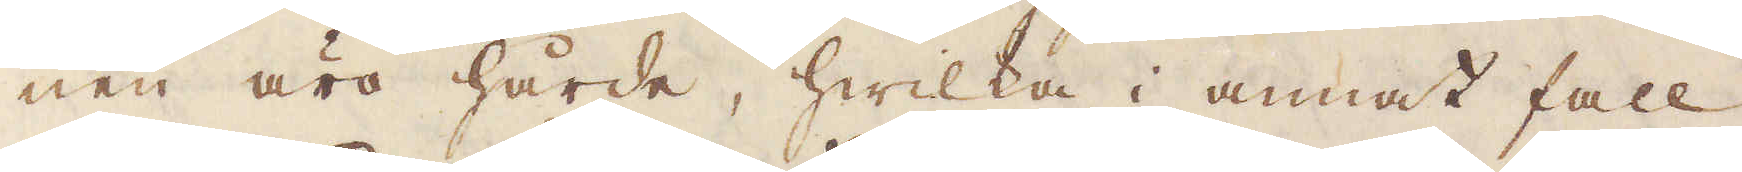nen äro hårde, hwilka i annat fall
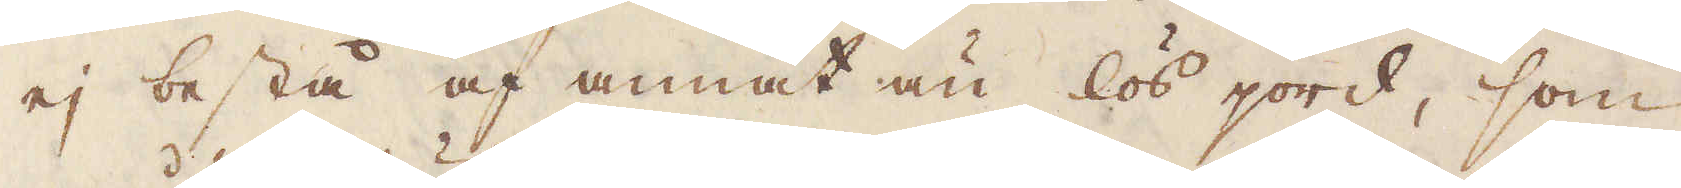ej bestå af annat än lös jord, som
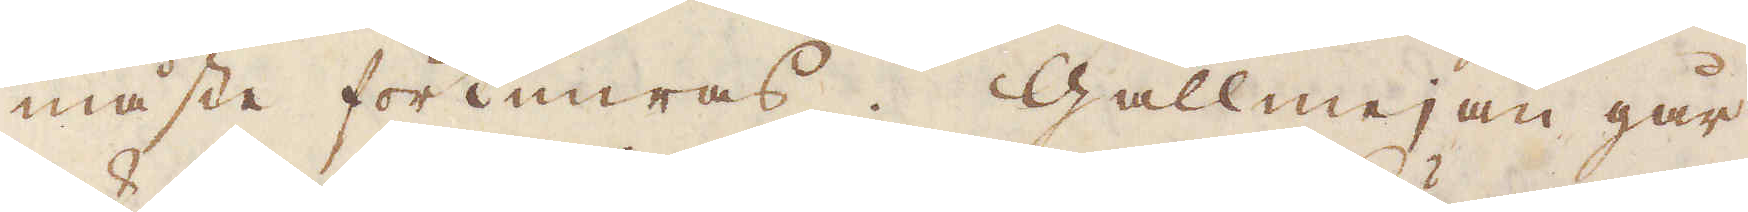måste förtimras. Gallmejan går
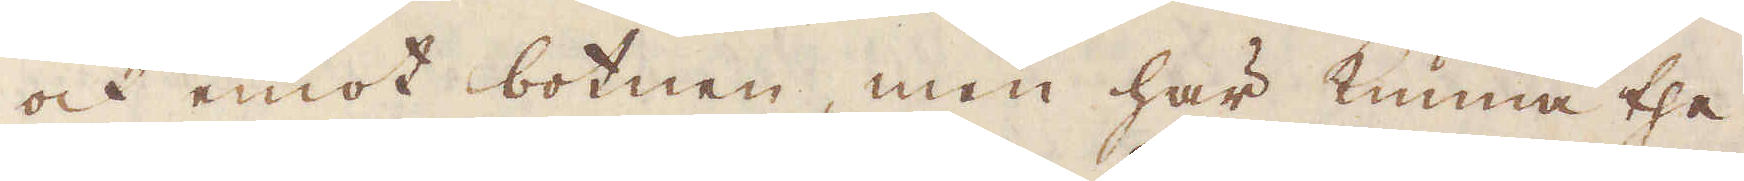och emot botnen, men här kunna the
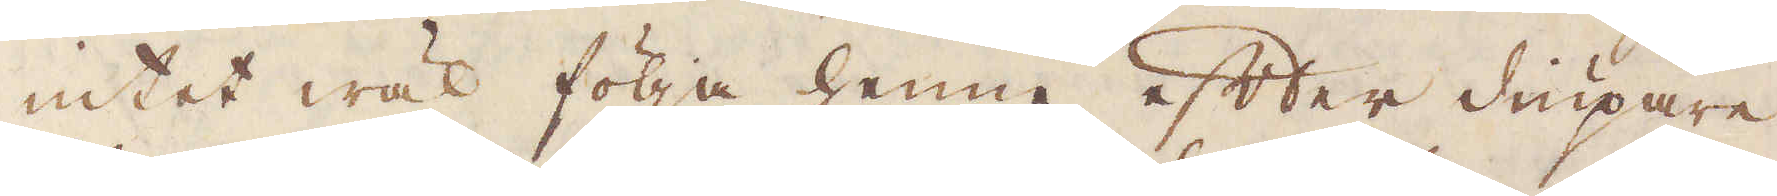intet wäl följa henne efter diupare
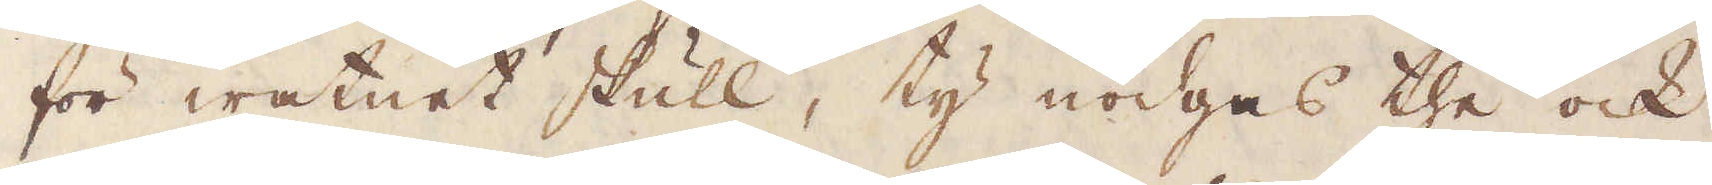för watnet skull, ty nödgas the ock
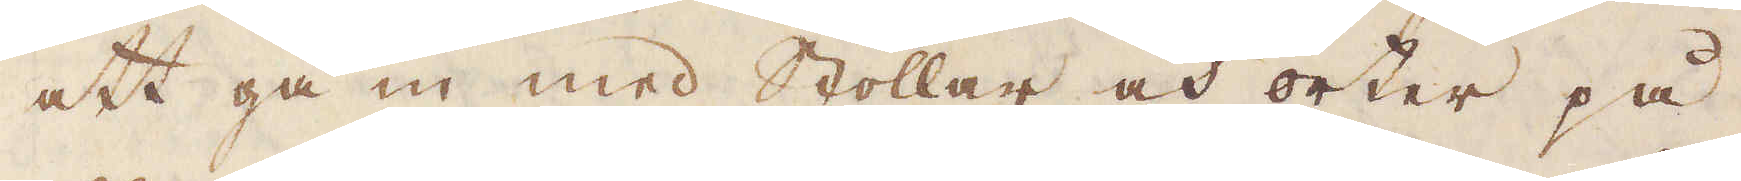att gå in med Stollar och orter på
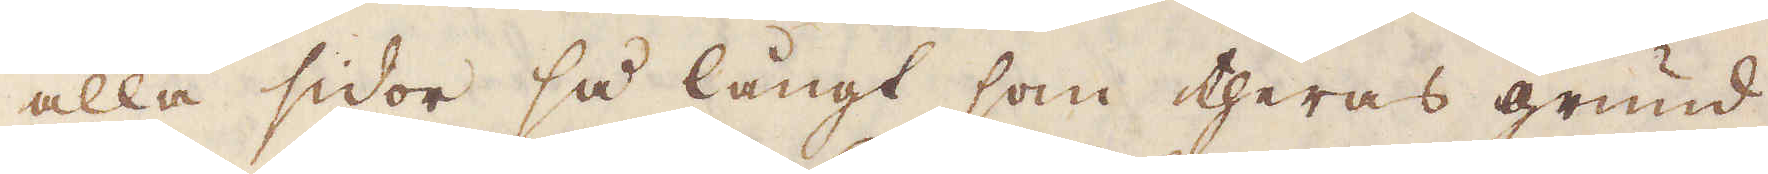alla sidor så långt som theras grund
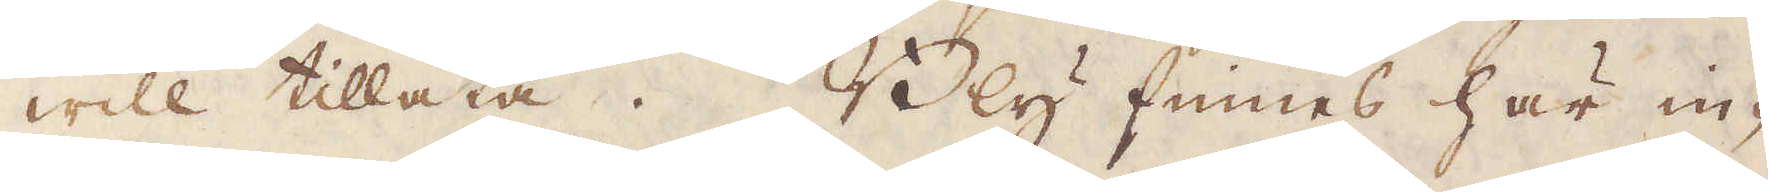will tillåta. Bly finnes här in-
